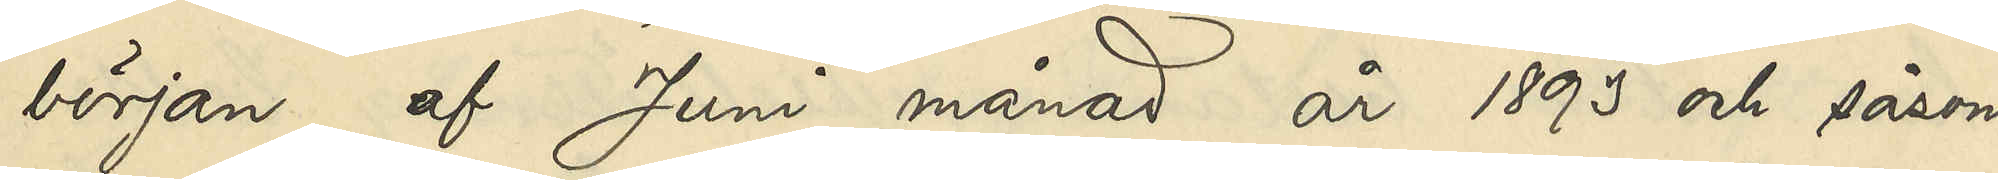början af Juni månad år 1893 och såsom
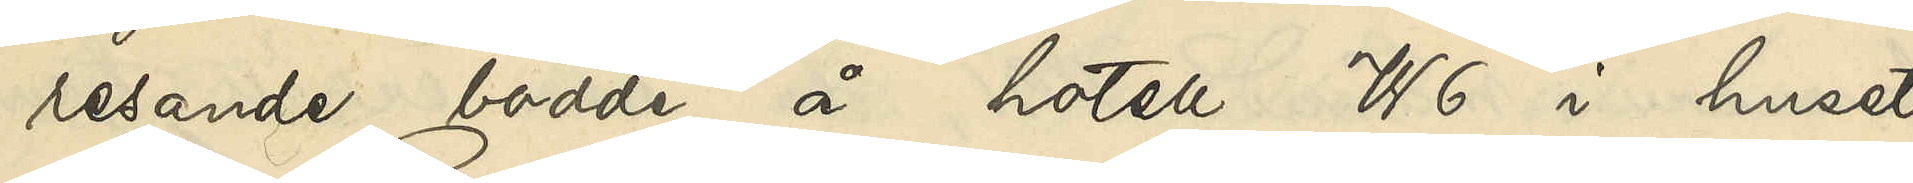resande bodde å hotell W6 i huset
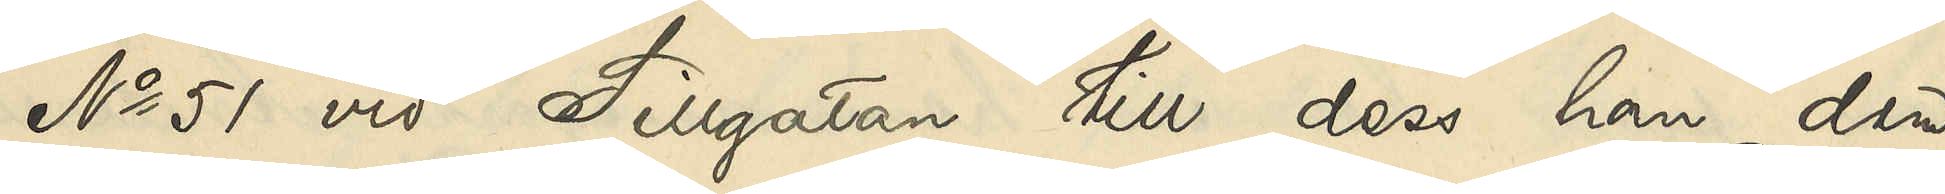No 51 vid Sillgatan till dess han den
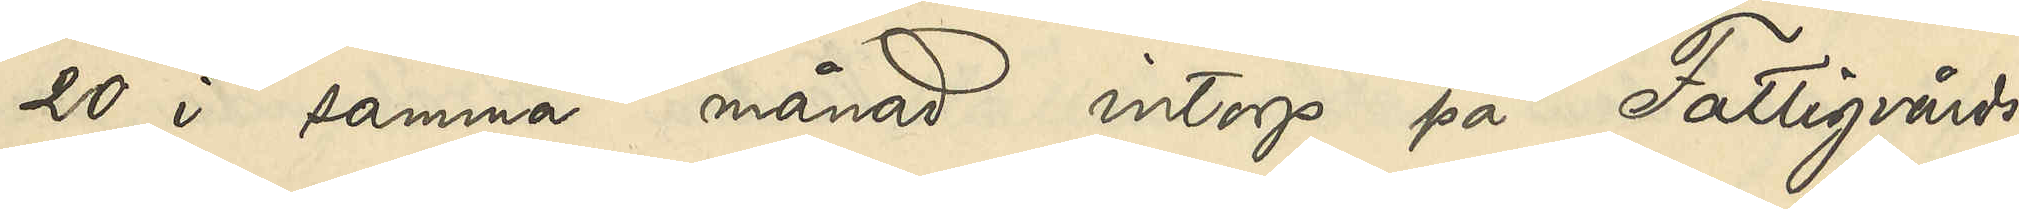20 i samma månad intogs på Fattigvårds¬
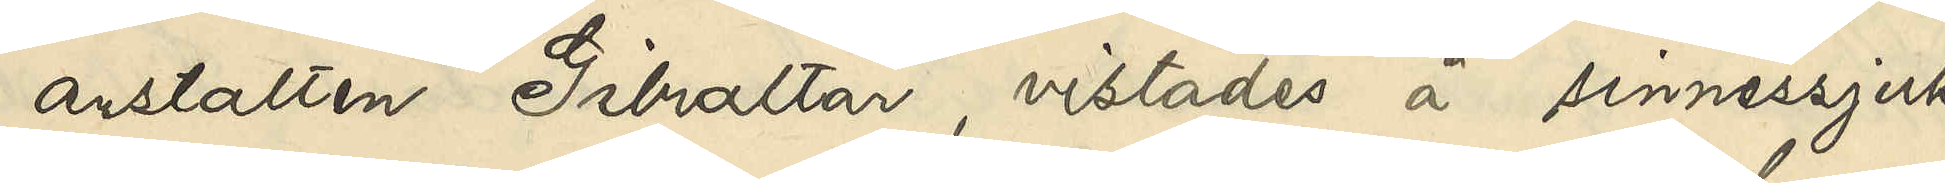anstalten Gibraltar, vistades å sinnessjuk¬
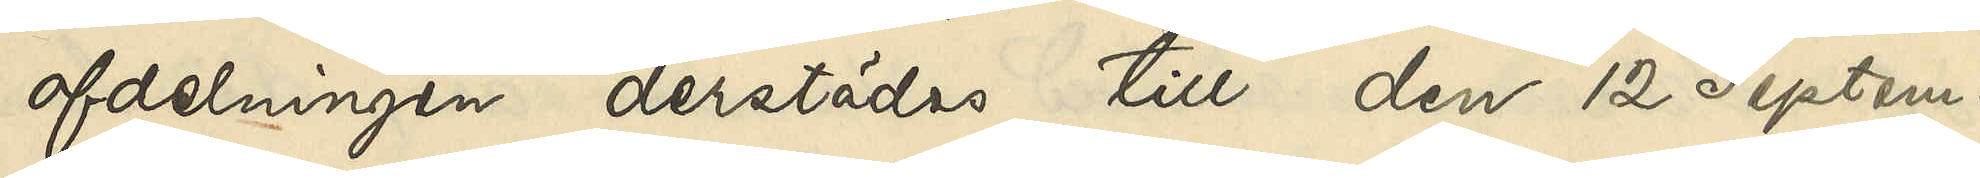afdelningen derstädes till den 12 Septem¬
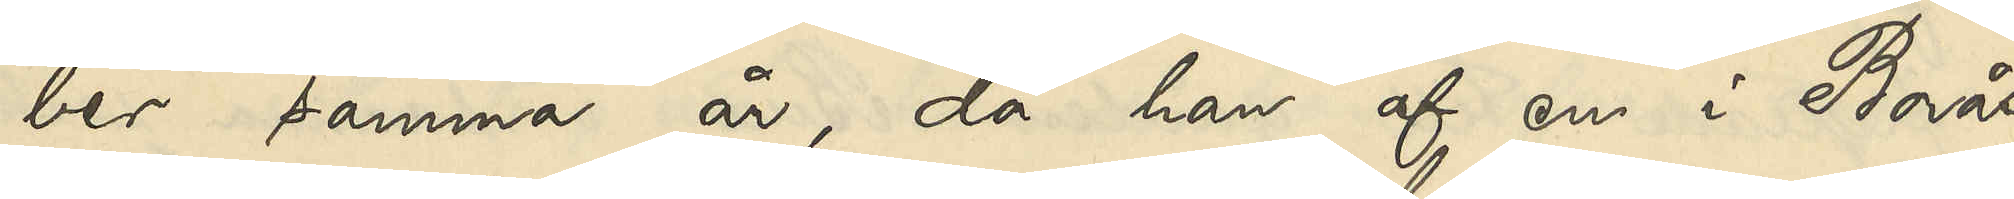ber samma år, då han af en i Borås
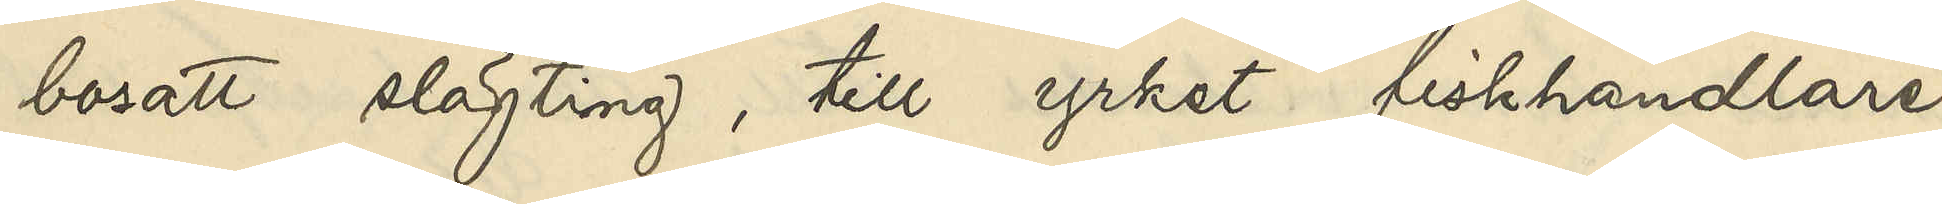bosatt slägting, till yrket fiskhandlare,
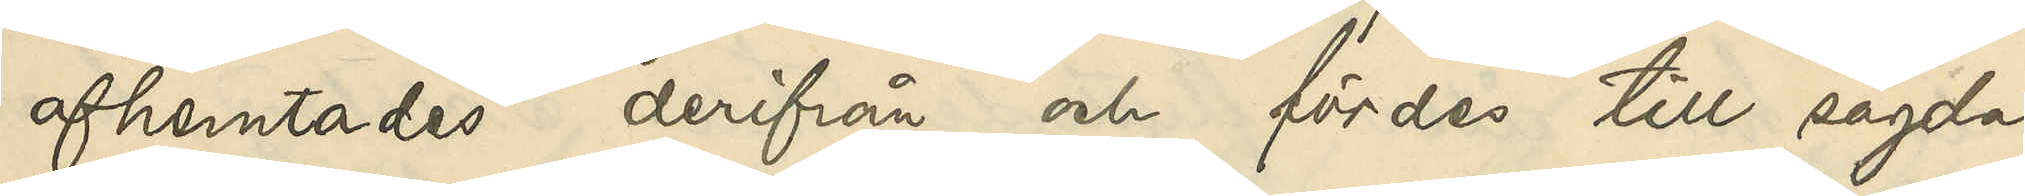afhemtades derifrån och fördes till sagda
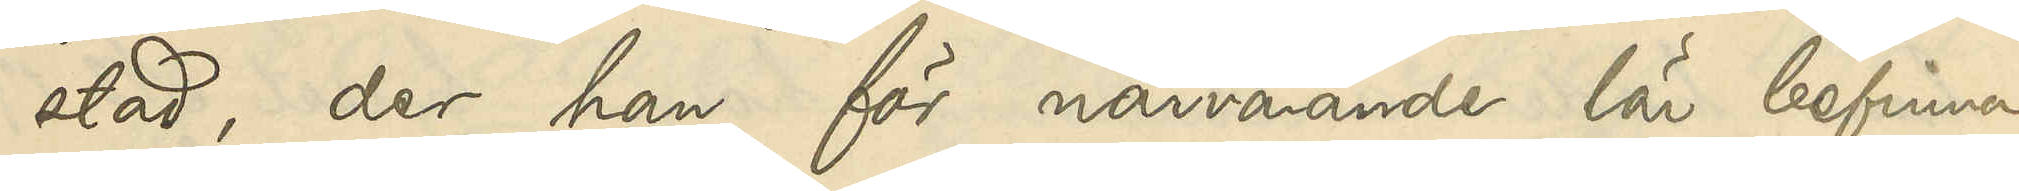stad, der han för närvrande lär befinna
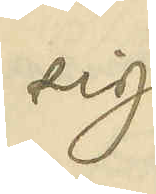sig.
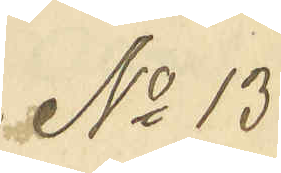No 13
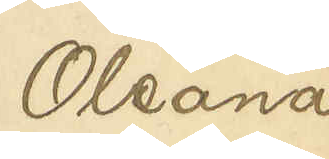Oleana
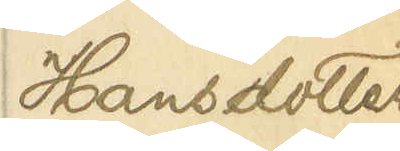Hansdotter
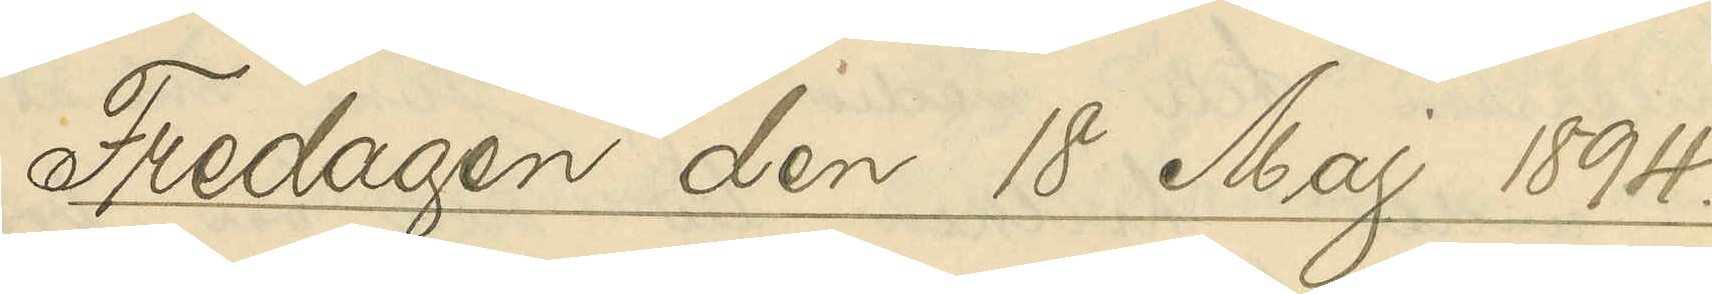Fredagen den 18 Maj 1894.
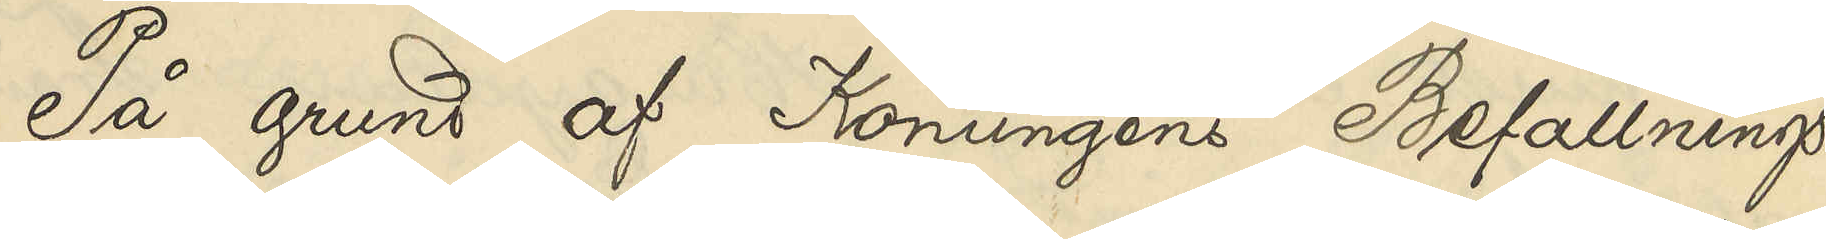På grund af Konungens Befallnings¬
